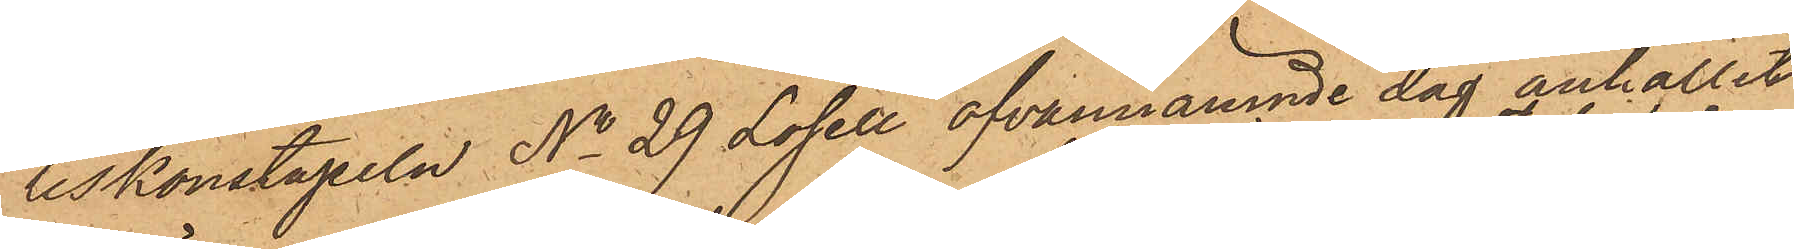liskonstapeln No 29 Losell ofvannämnde dag anhållit
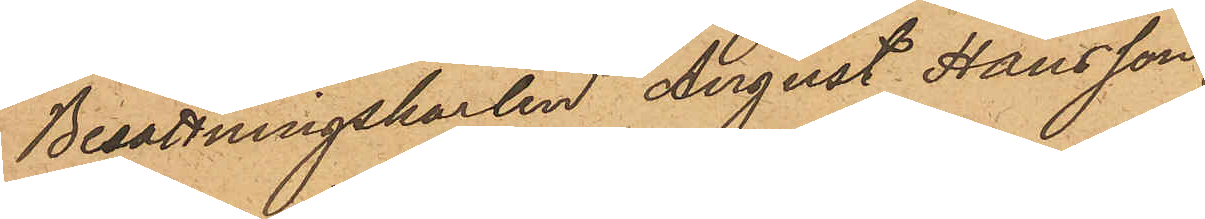Besättningskarlen August Hansson,
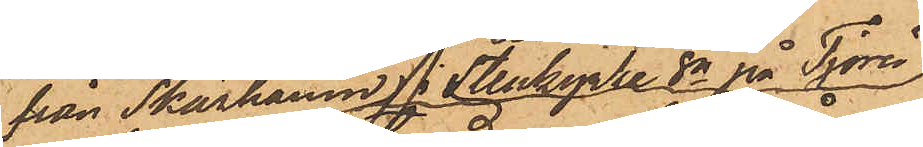från Skärhamn i Stenkyrka sn på Tjörn
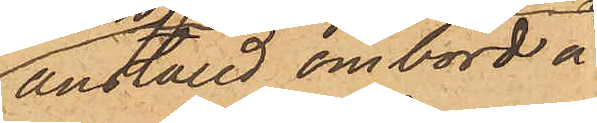anställd ombord å
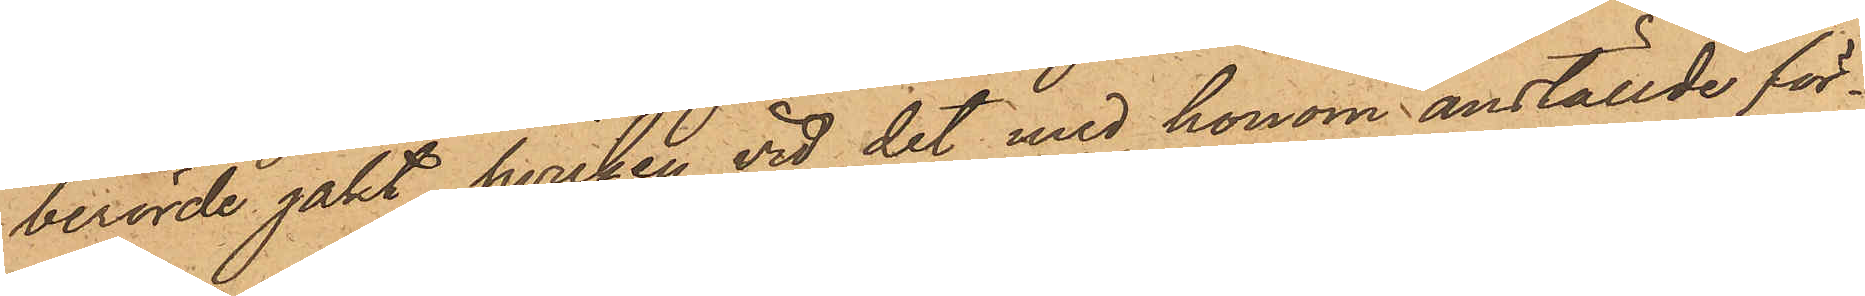berörde jakt, hvilken vid det med honom anställde för¬
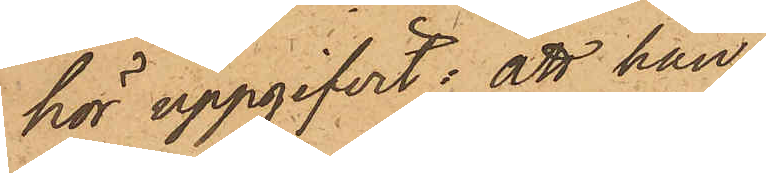hör uppgifvit: att han,
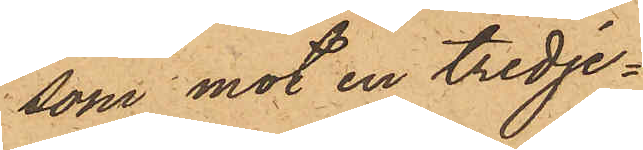som mot en tredje¬
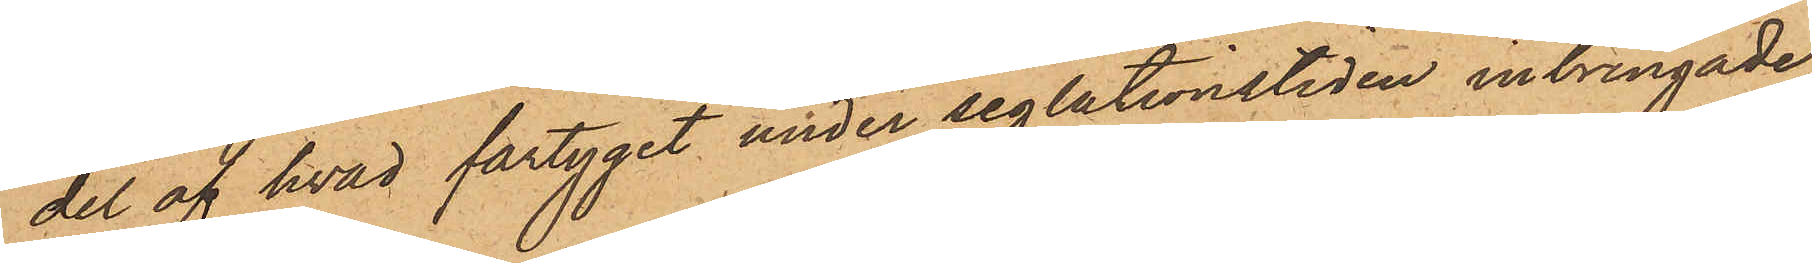del af hvad fartyget under seglationstiden inbringade,
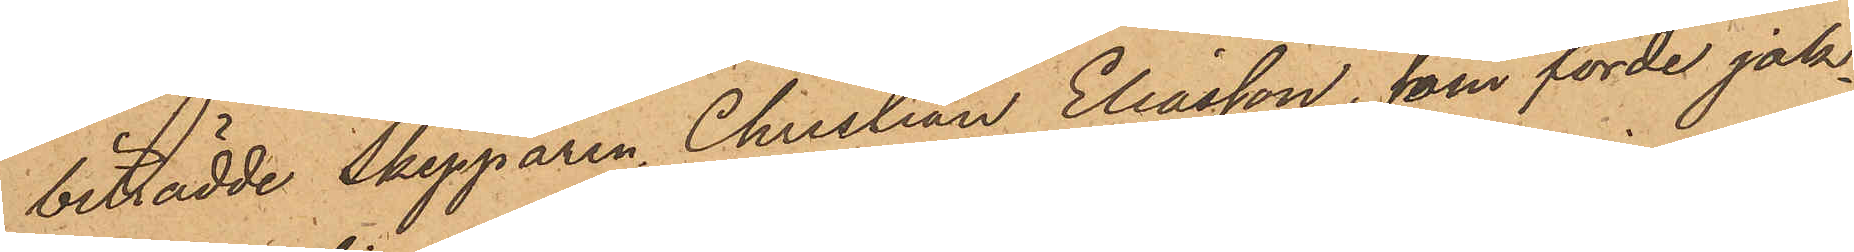biträdde Skepparen Christian Eliasson, som förde jak¬
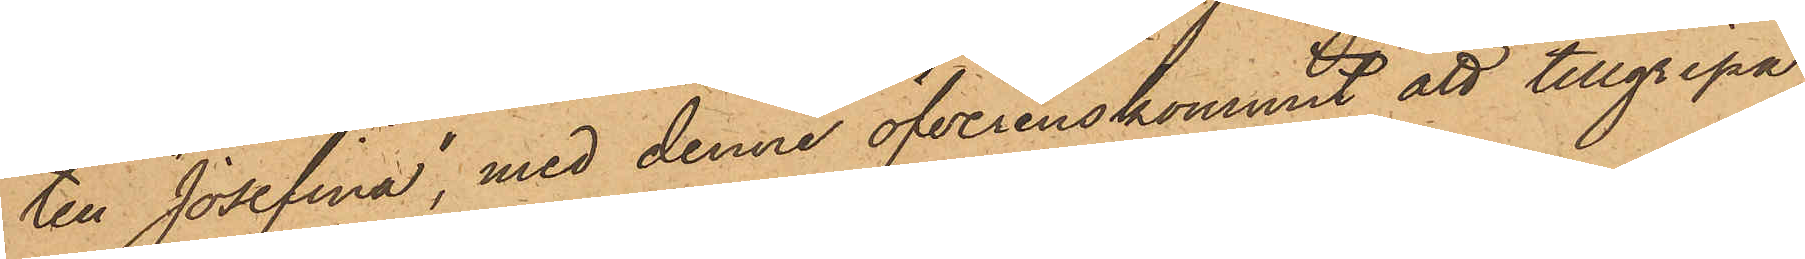ten "Josefina", med denne öfverenskommit att tillgripa
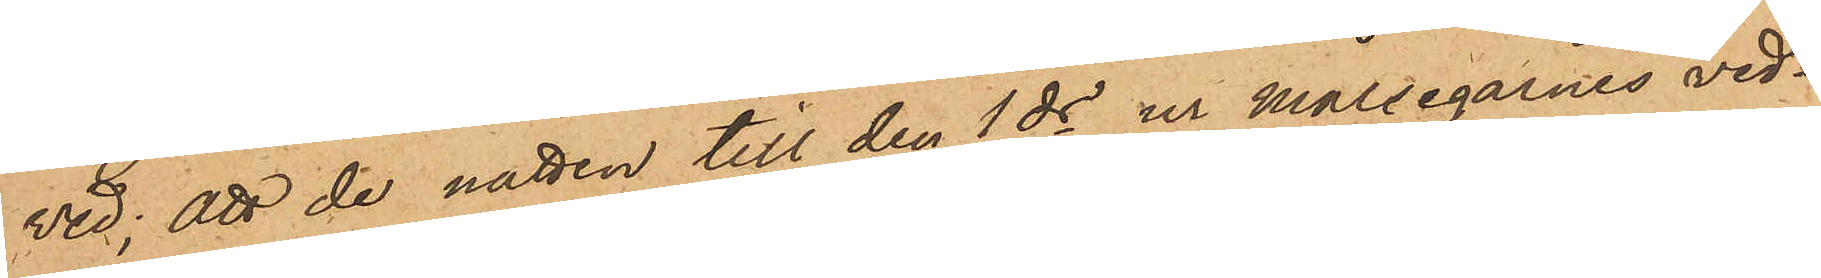ved; att de natten till den 1 ds ur målsegarnes ved¬
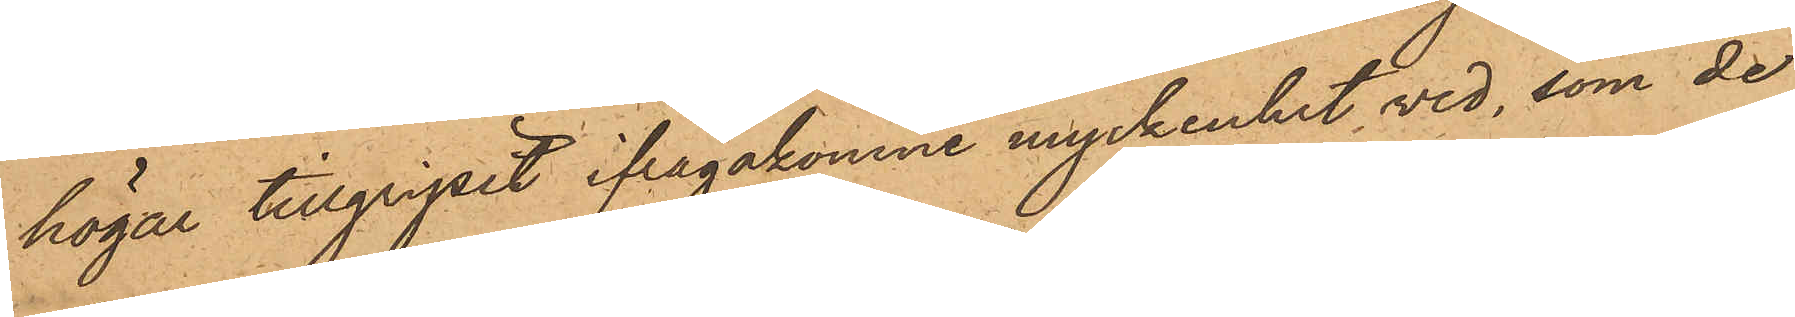högar tillgripit ifrågakomne myckenhet ved, som de
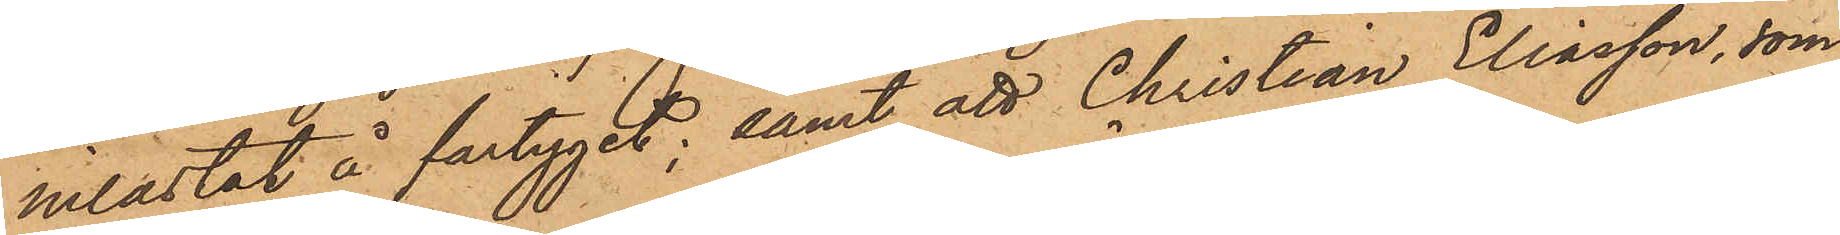inlastat å fartyget; samt att Christian Eliasson, som
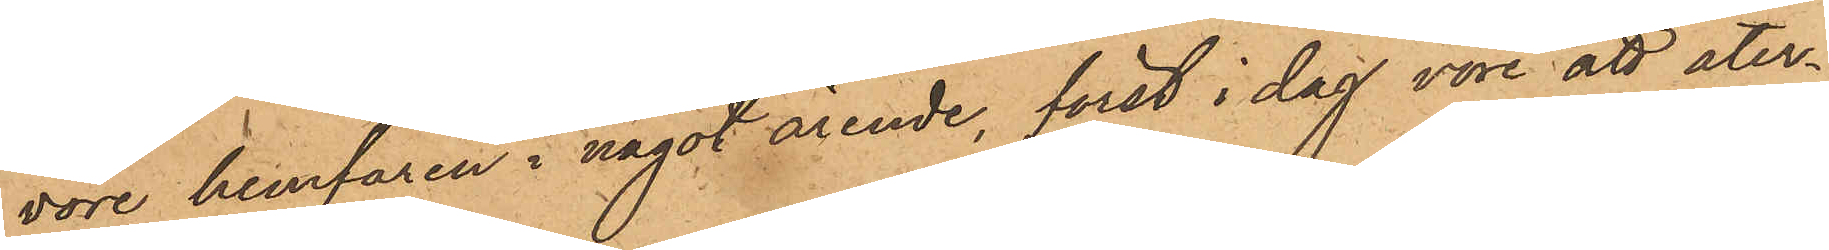vore hemfaren i något ärende, först i dag vore att åter¬
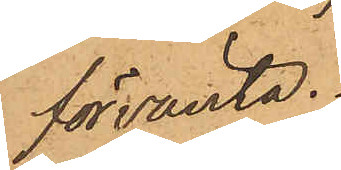förvänta.
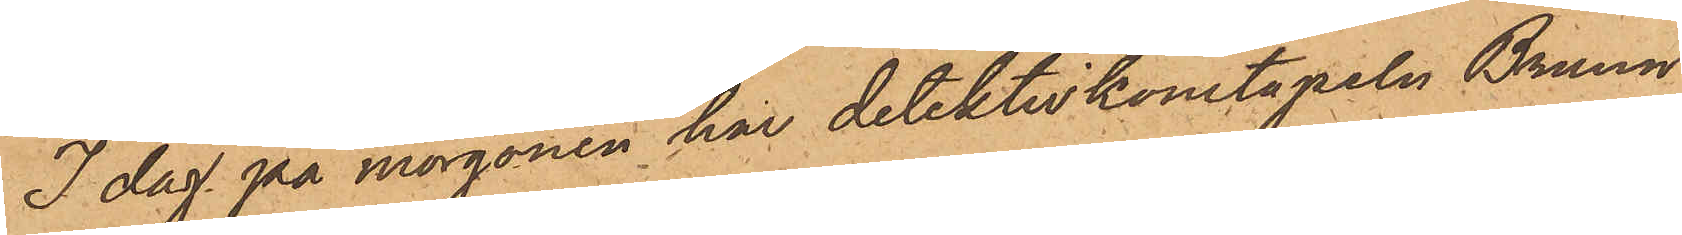I dag på morgonen har detektivkonstapeln Bruun
